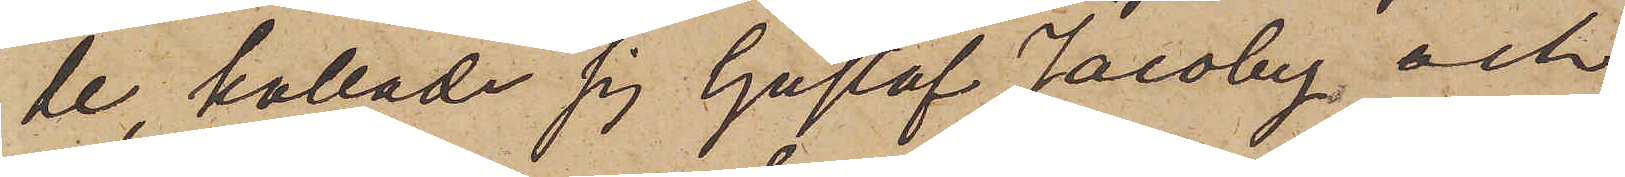de, kallade sig Gustaf Jacoby och
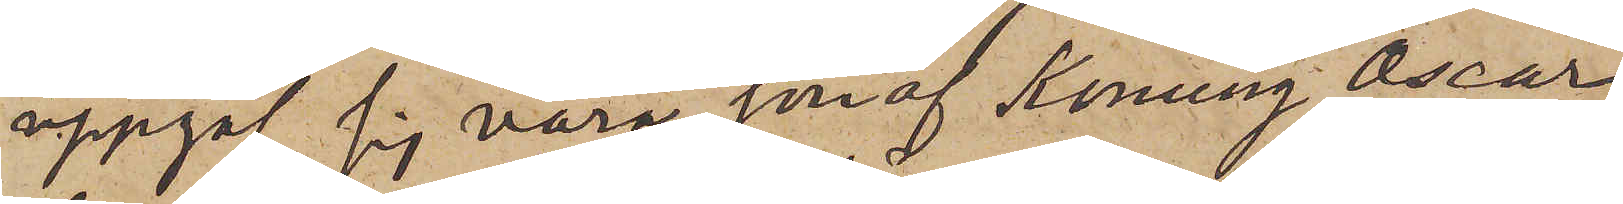uppgaf sig vara son af Konung Oscar
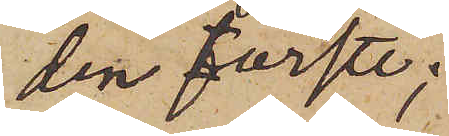den förste;
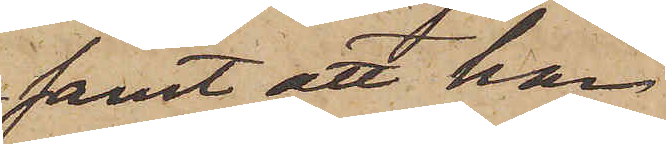samt att han
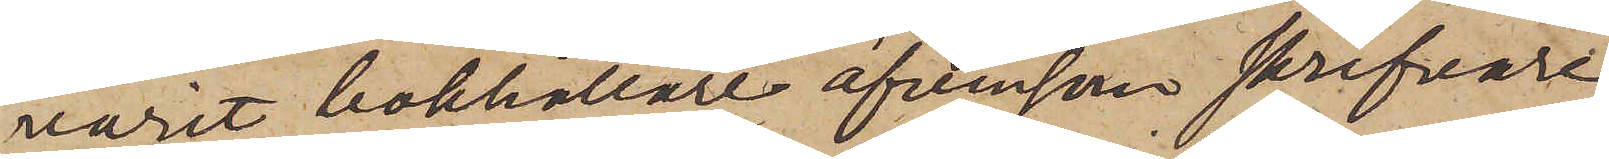varit bokhållare äfvensom skrifvare
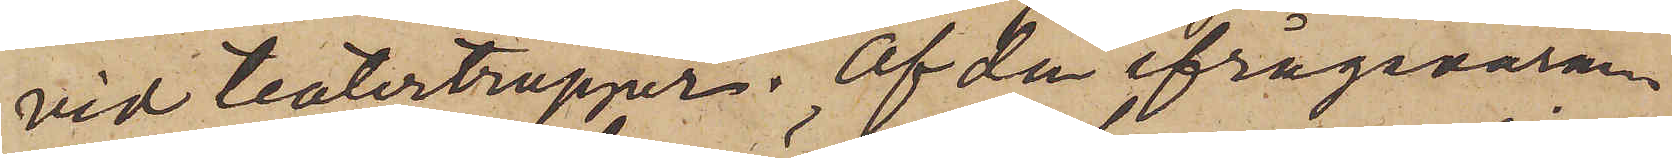vid teatertrupper. Af den ifrågavaran¬
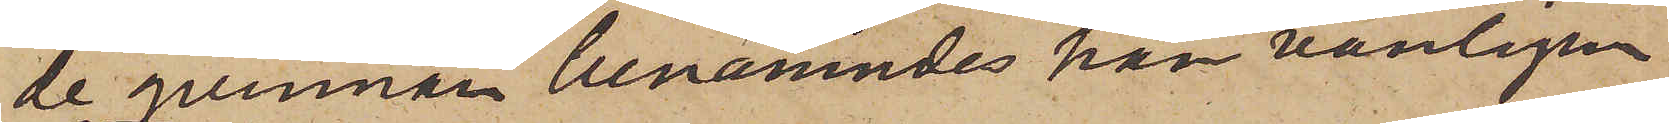de qvinnan benämndes han vanligen
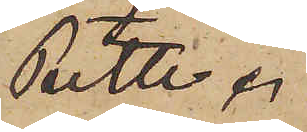Petter.
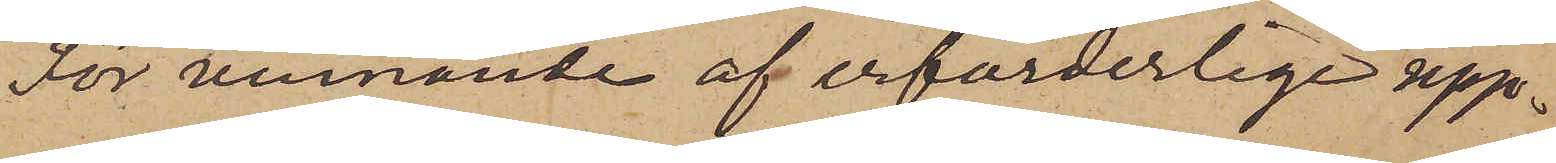För vinnande af erforderlige upp¬
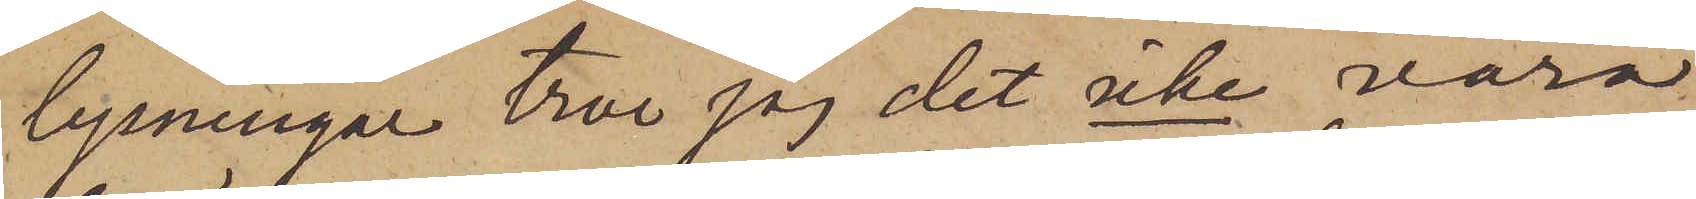lysningar tror jag det icke vara
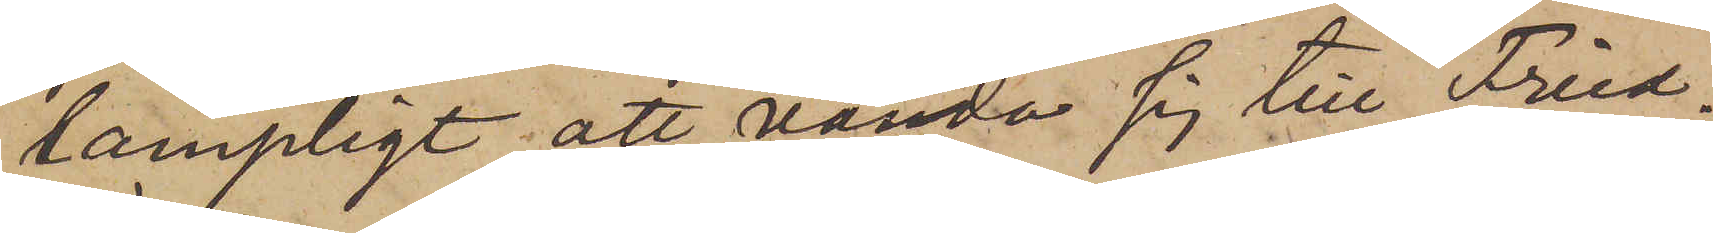lämpligt att vända sig till Fried¬
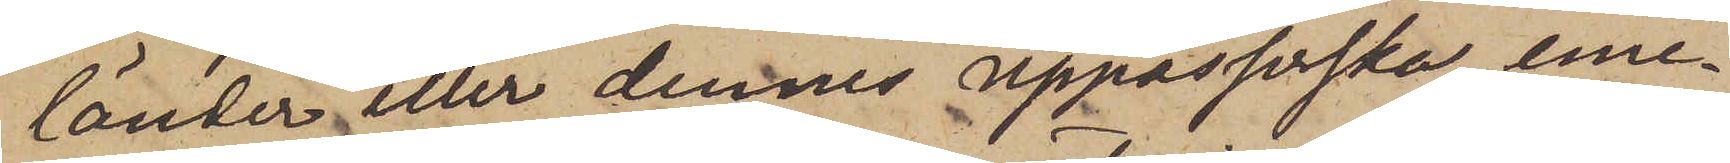länder eller dennes uppasserska, eme¬
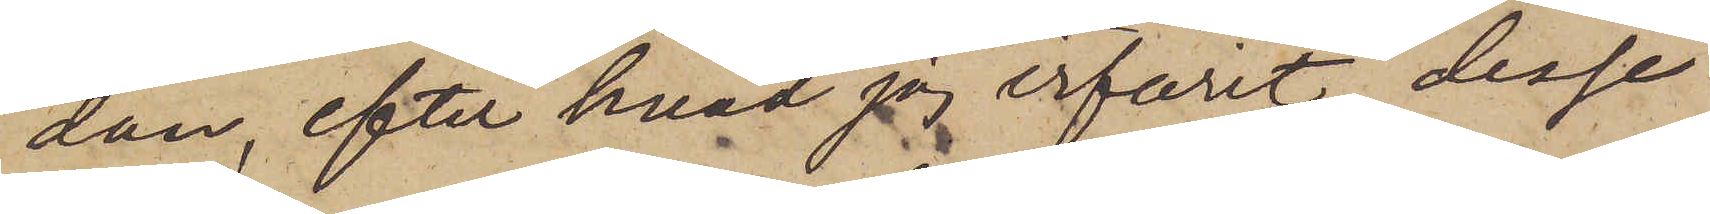dan, efter hvad jag erfarit, desse
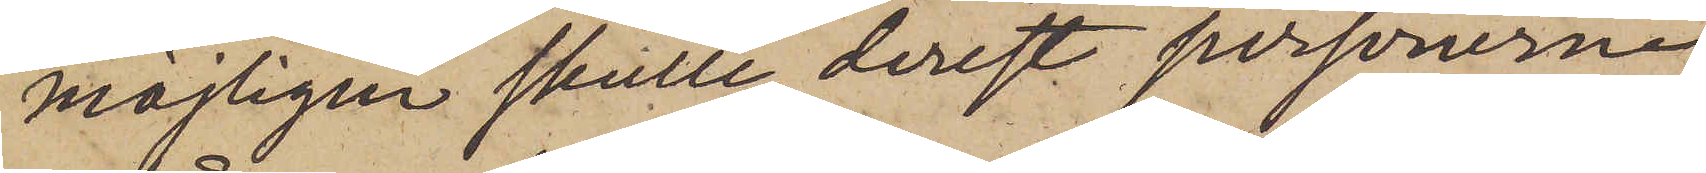möjligen skulle, derest personerna
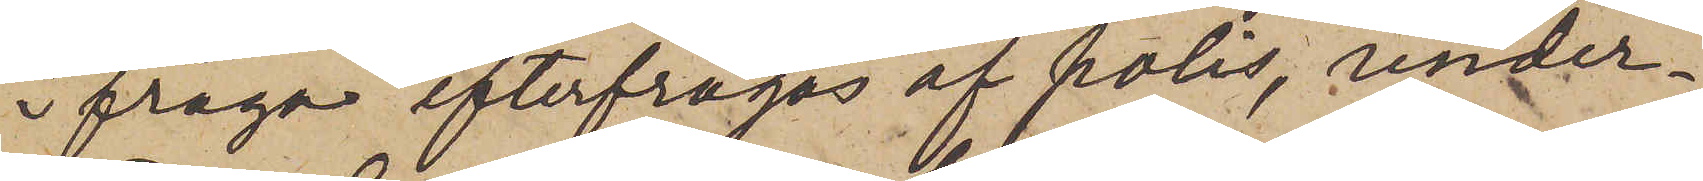ifråga efterfrågas af polis, under¬
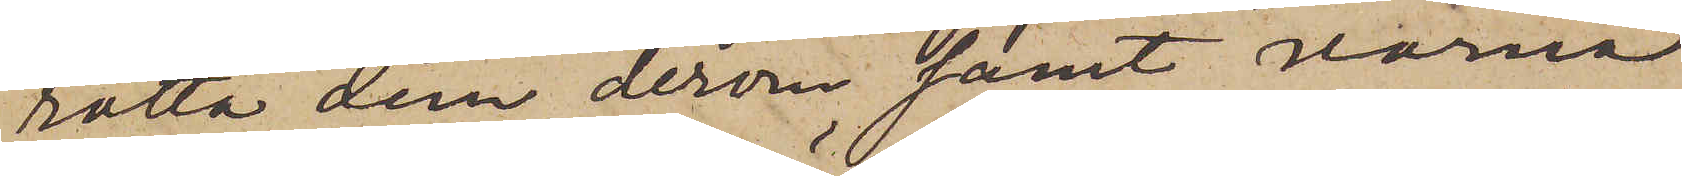rätta dem derom samt varna
